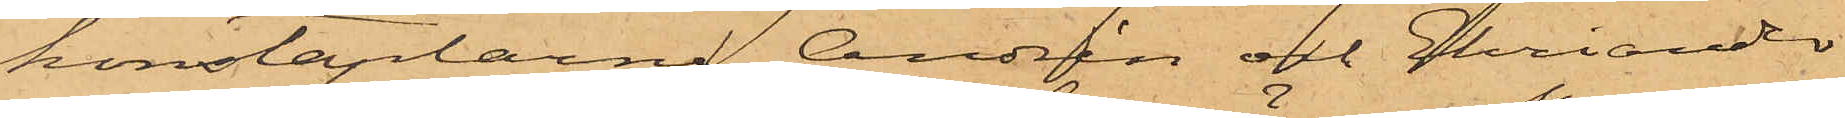konstaplarne Andrén och Ehriander
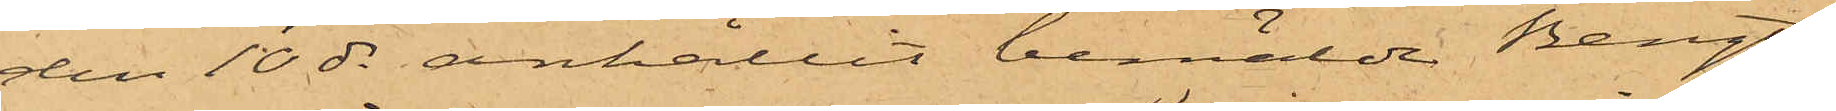den 10 ds anhållit bemälde Bengts¬
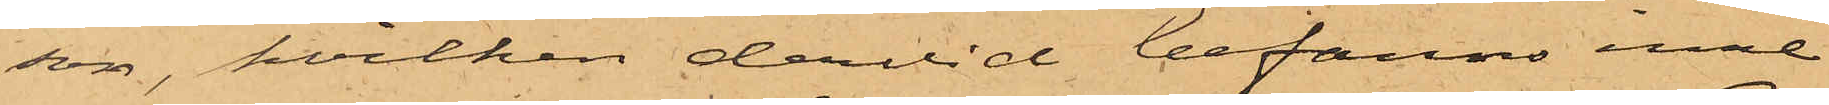son, hvilken dervid befanns inne¬
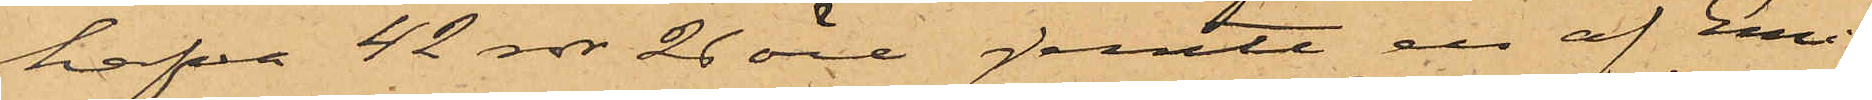hafva 42 rdr 26 öre, jemte en af Emi¬
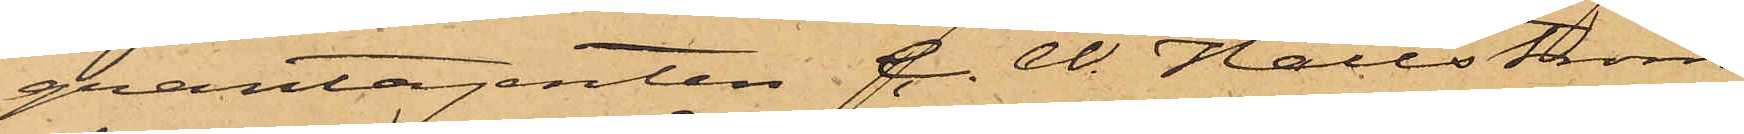grantagenten C. W. Hällström
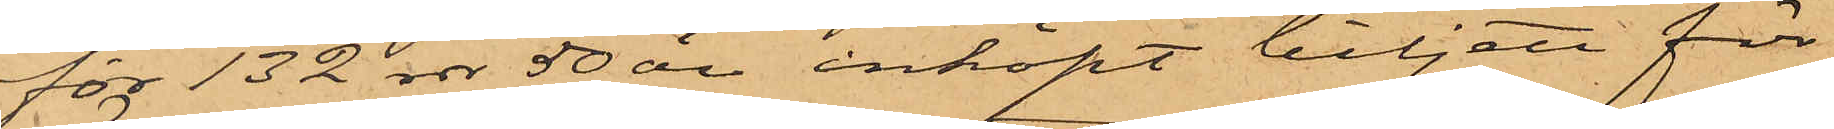för 132 rdr 50 öre inköpt biljett för
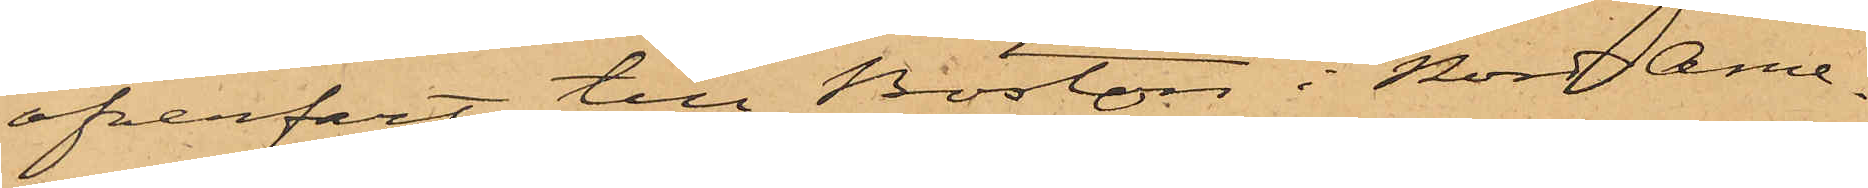öfverfart till Boston i Nord Ame¬
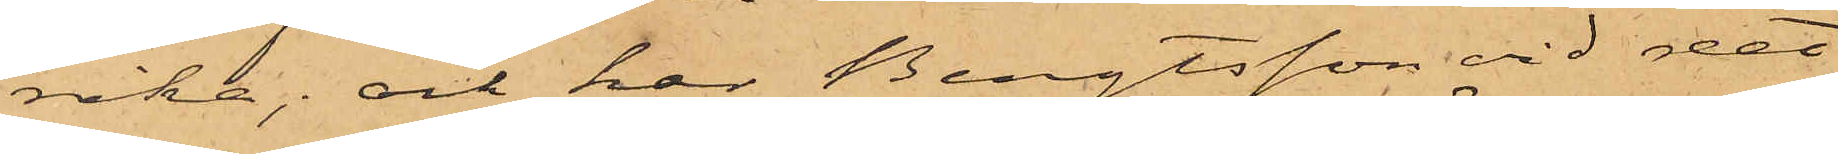rika; och har Bengtsson vid det
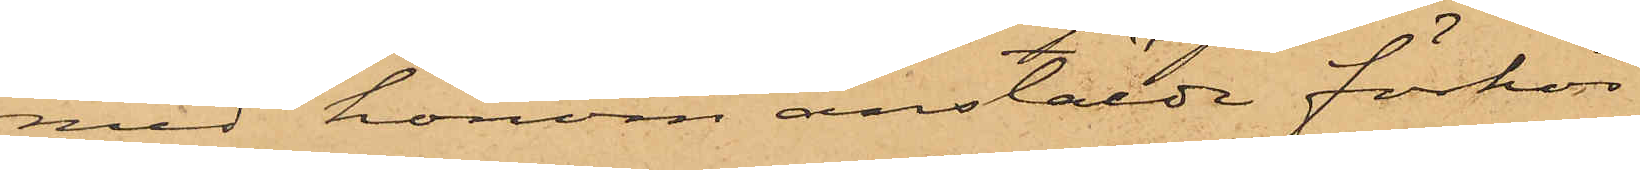med honom anstälde förhör
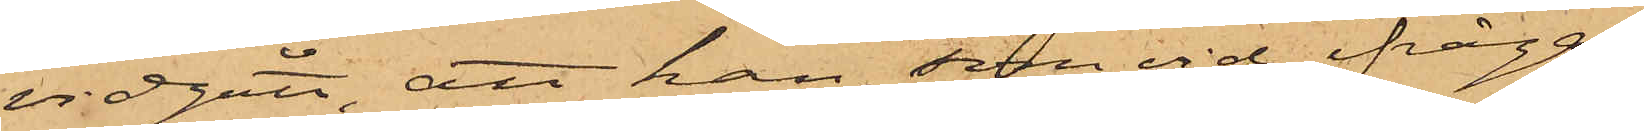vidgått, att han, som vid ifråga¬
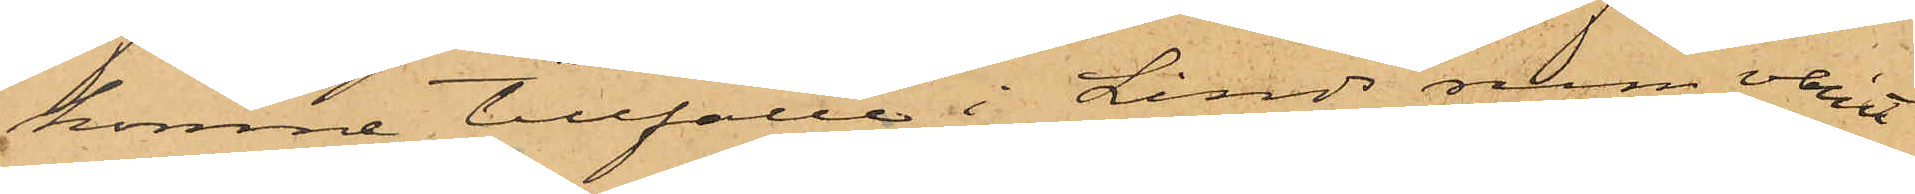komne tillfälle i Linds rum varit
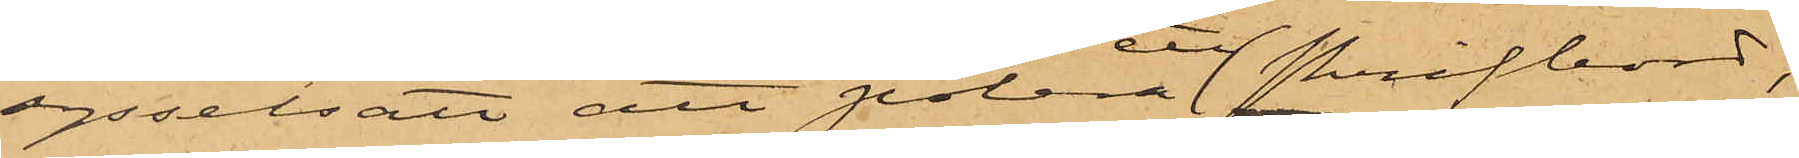sysselsatt att polera ett skrifbord,
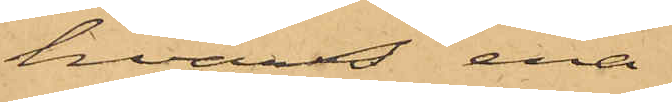hvars ena
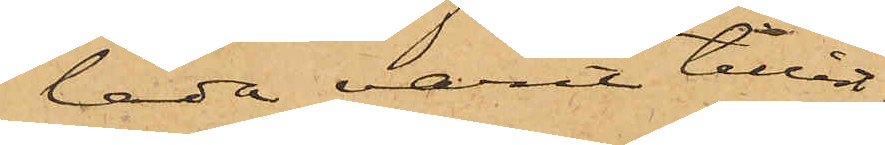låda varit tillåst,
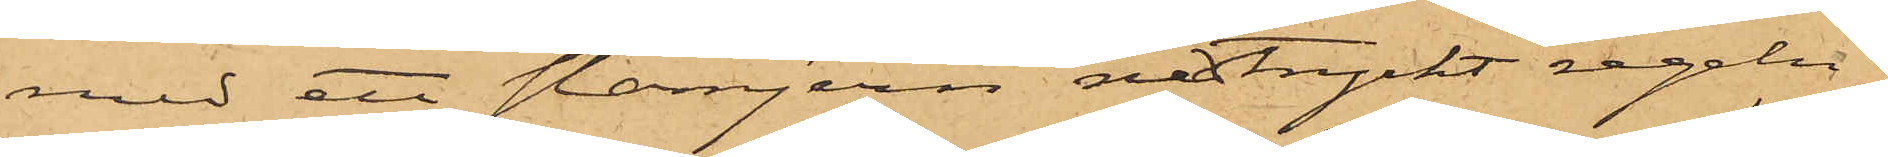med ett stämjern nedtryckt regeln
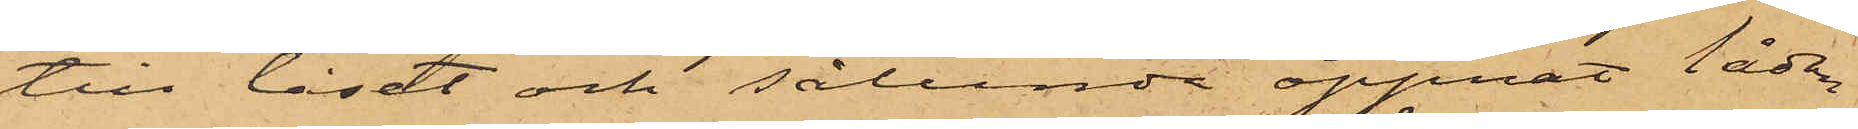till låset och sålunda öppnat lådan
